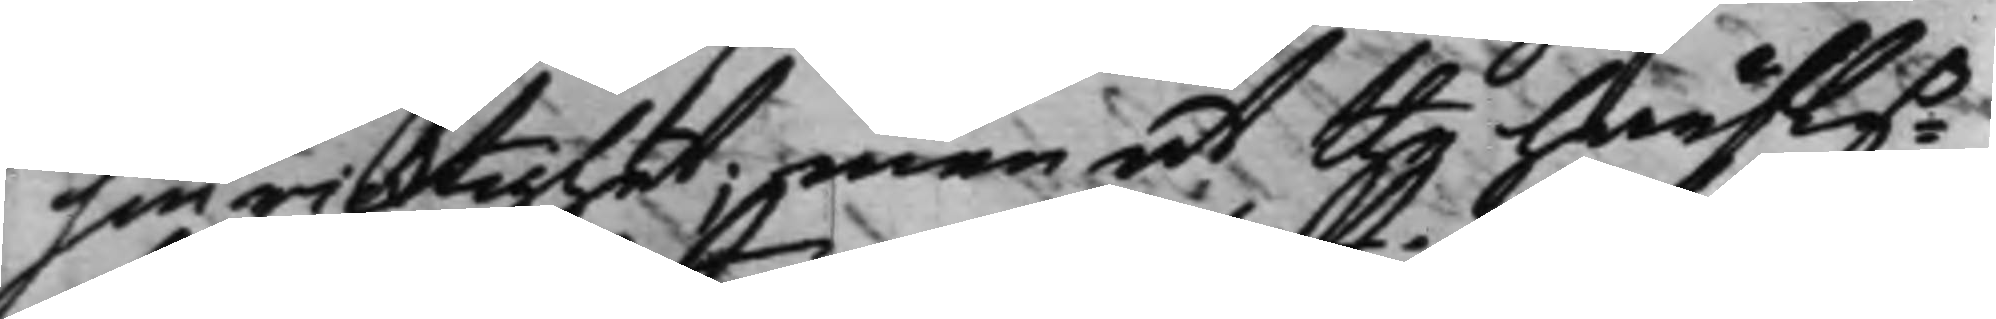sin ricktighet; men at the härfly¬
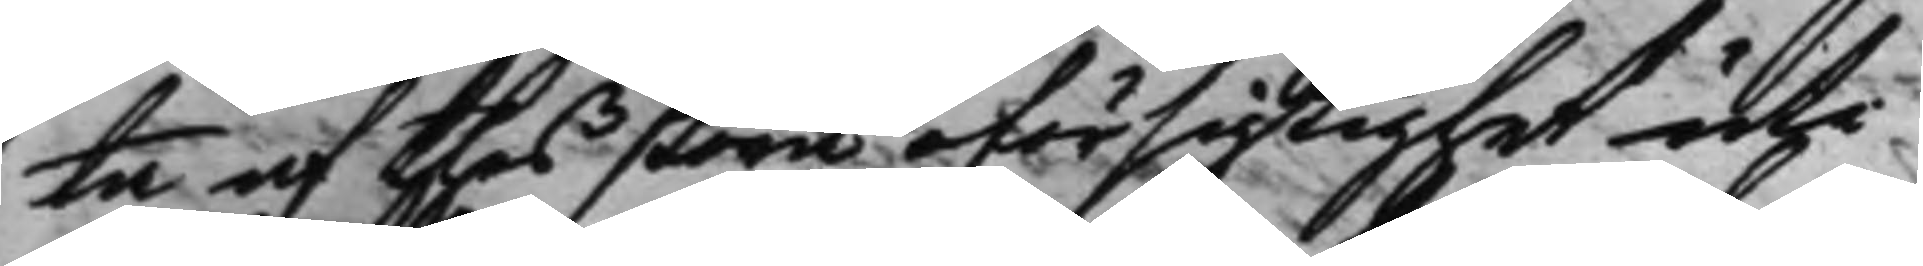ta af thes stora oförsigtighet uti
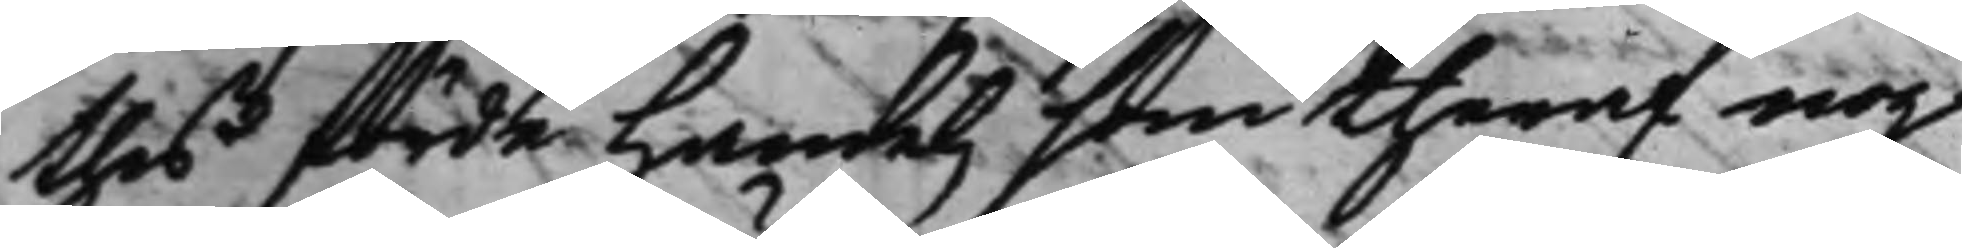thes förde Handel, som theraf nog
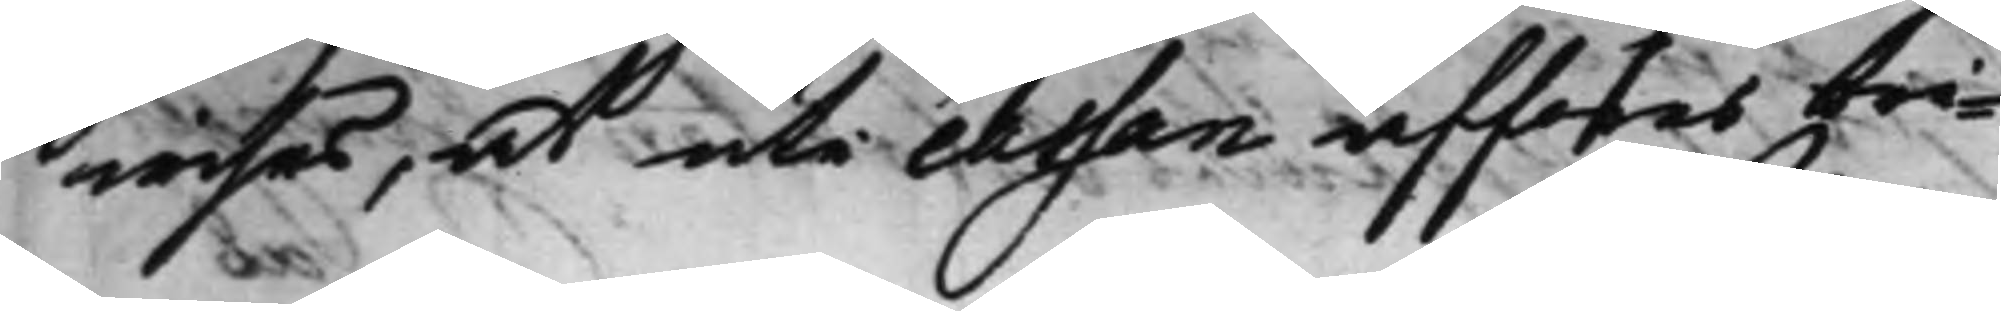wisas, at uti cassan afföres bri¬
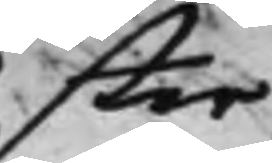ster
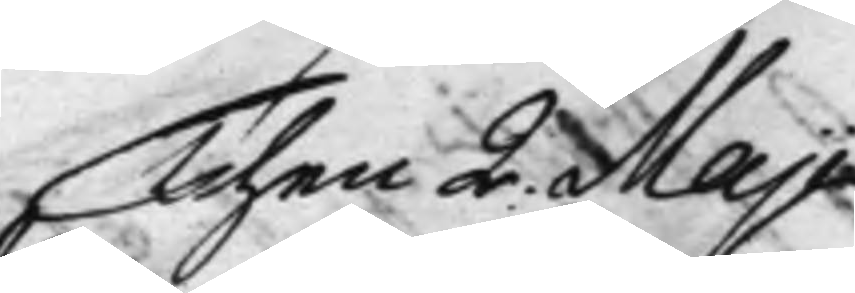Then 2 Maji
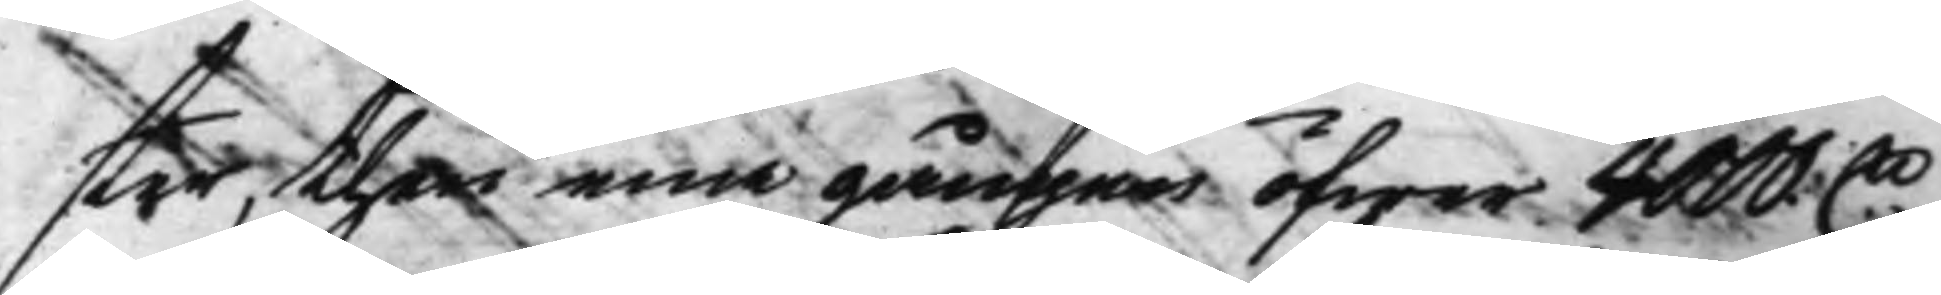ster, then ena gången öfwer 4000 D.
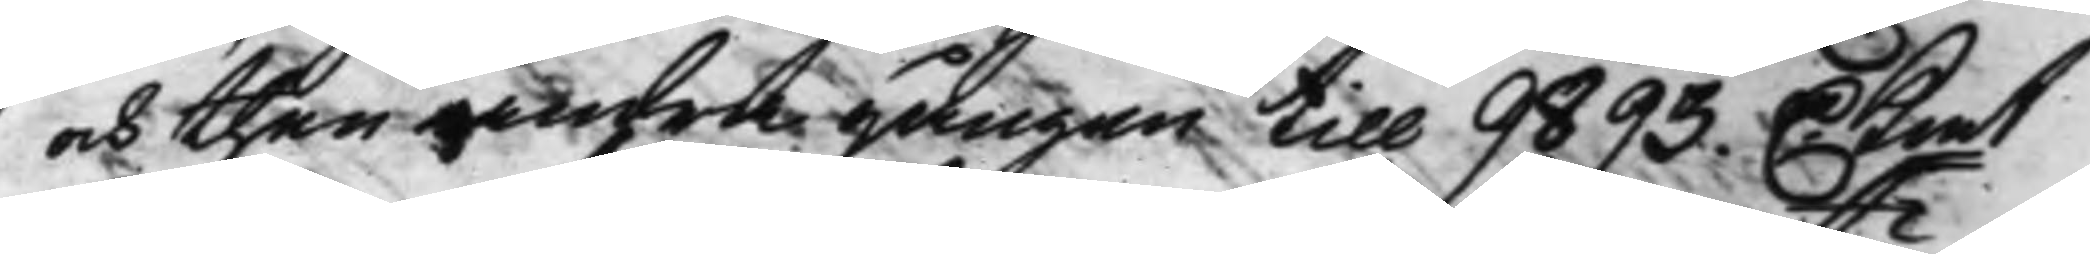och then andra gången till 9893 D. Kmt
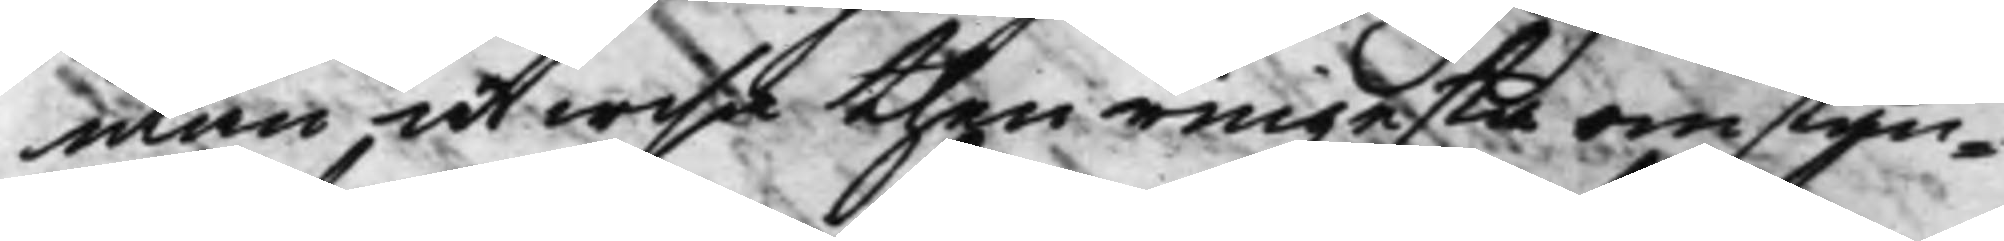utan at wisa then ringaste omstän¬
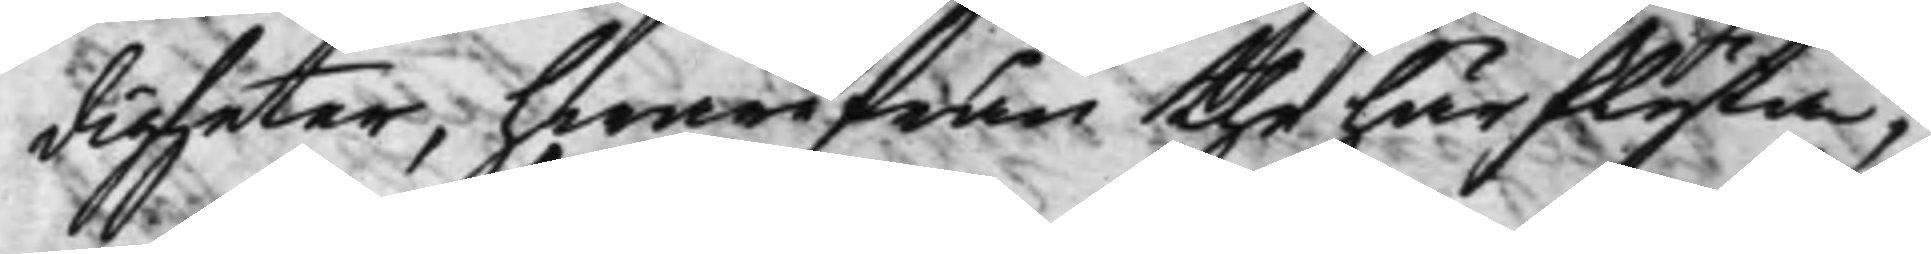digheter, hwarifrån the härflyta,
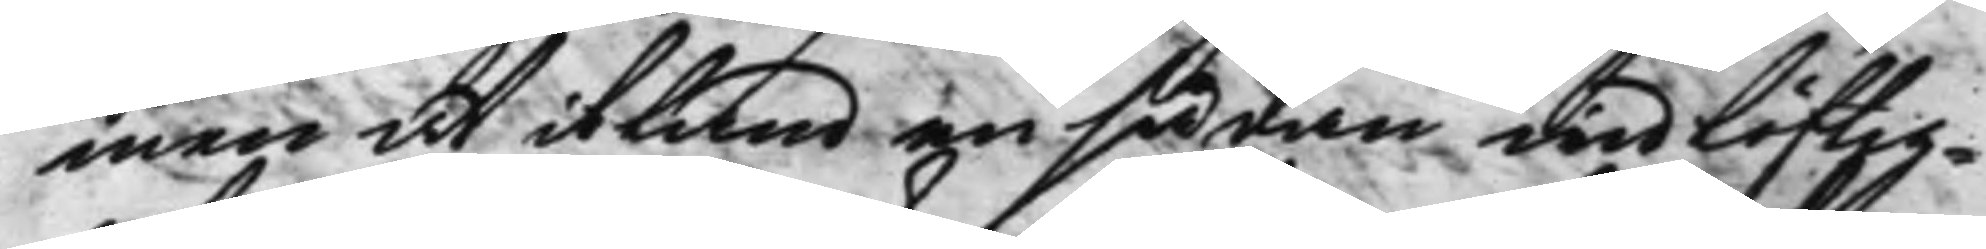men at ibland en sådan widlöftig¬
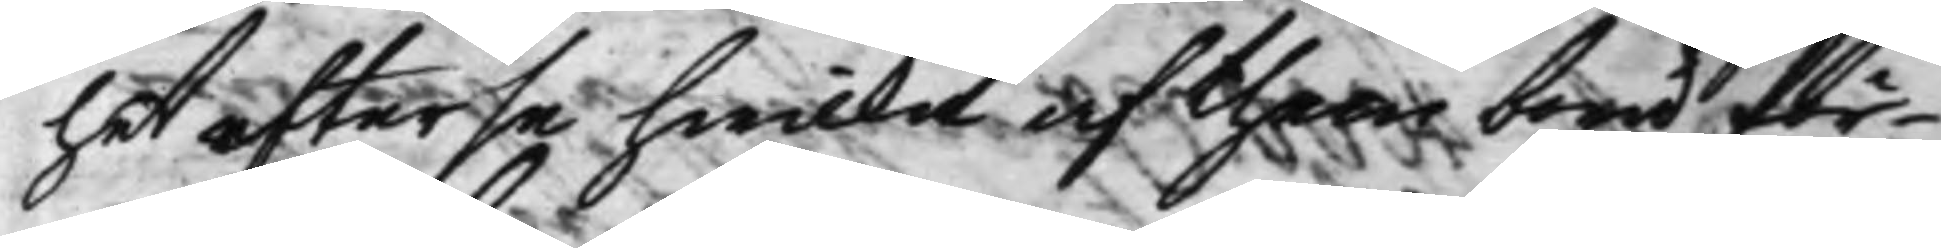het efterse hwilka af them böra för
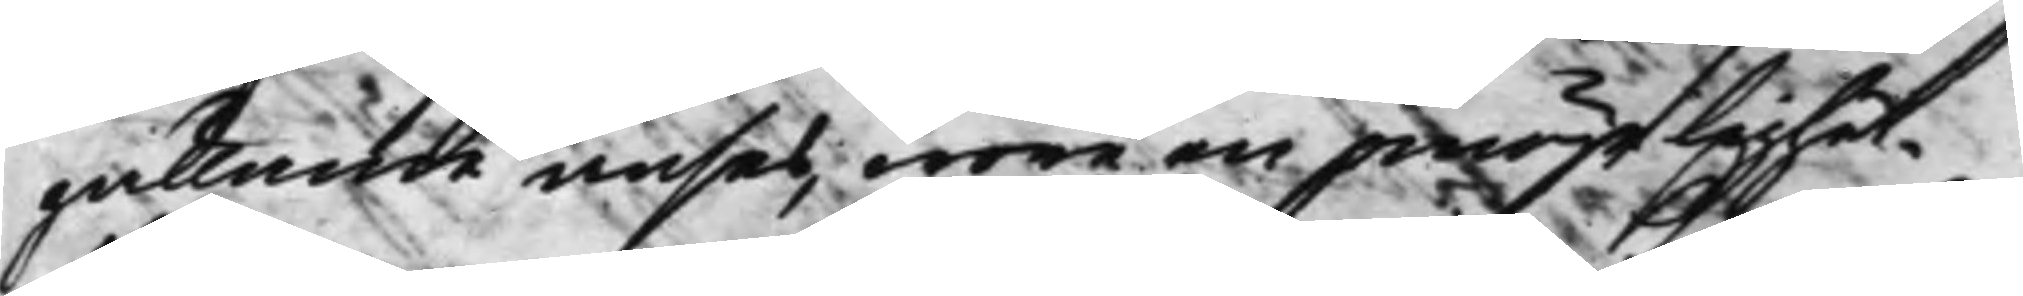gällande anses, wore en prästlighet.
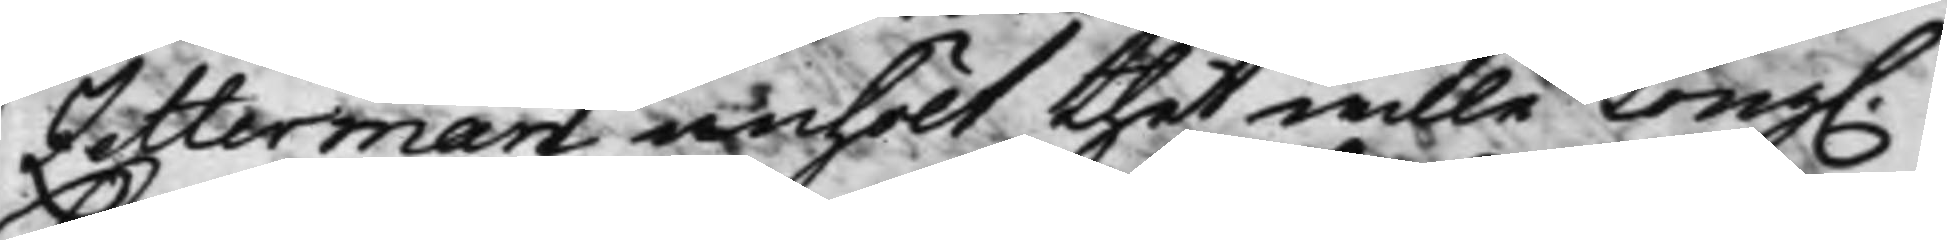Zetterman anhölt thet wille Kong.
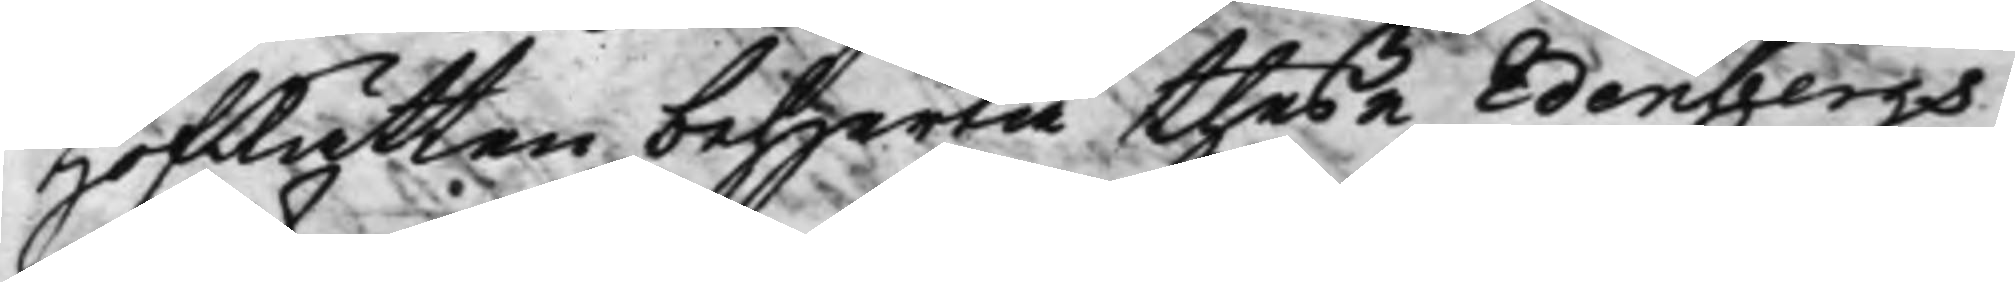HofRätten behjerta theße Edenbergs
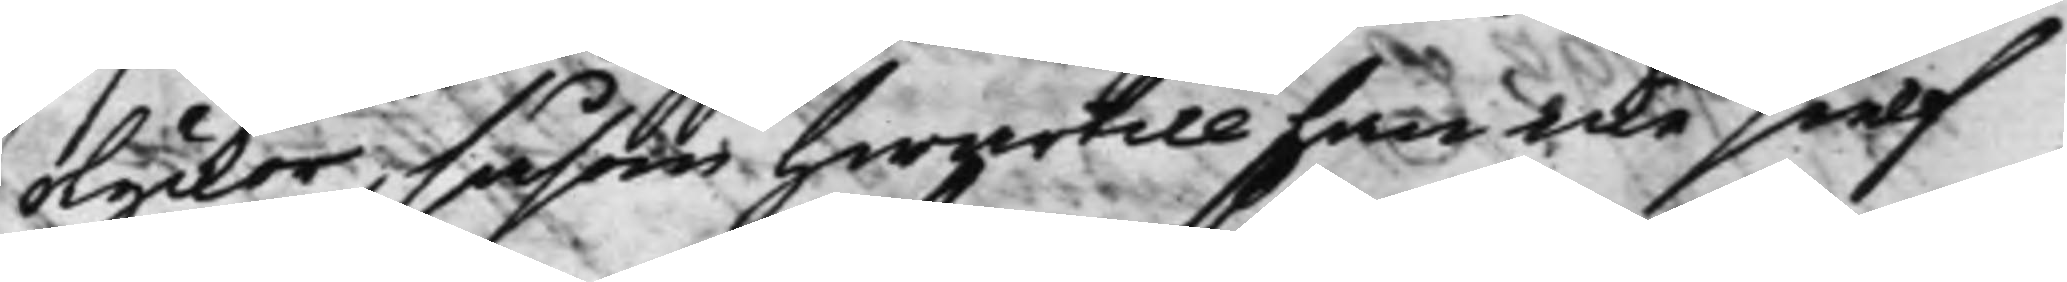olyckor, såsom Hwartill han icke sielf
